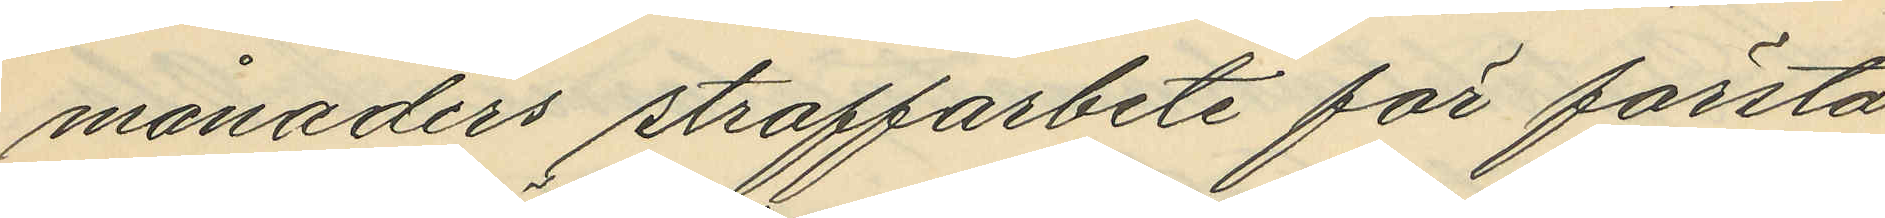månaders straffarbete för första
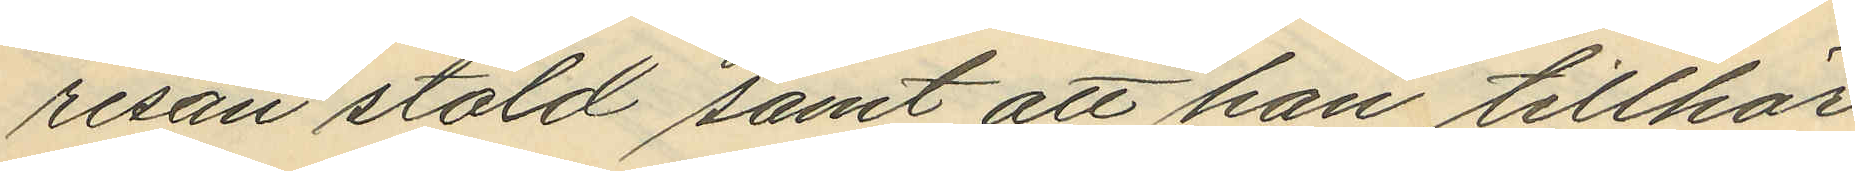resan stöld samt att han tillhör
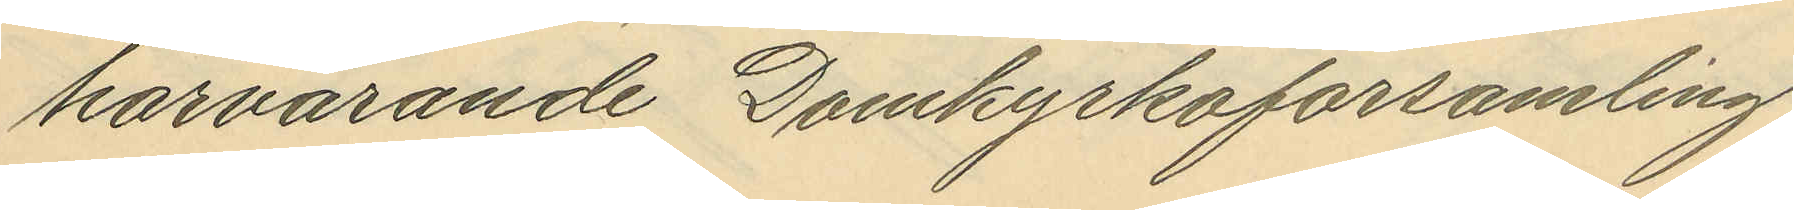härvarande Domkyrkoförsamling
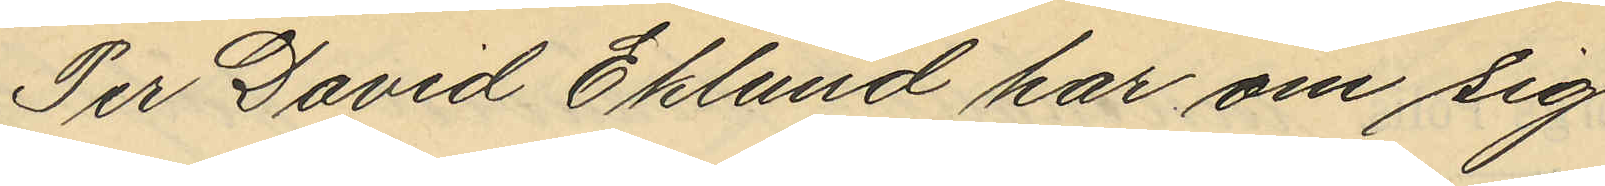Per David Eklund har om sig
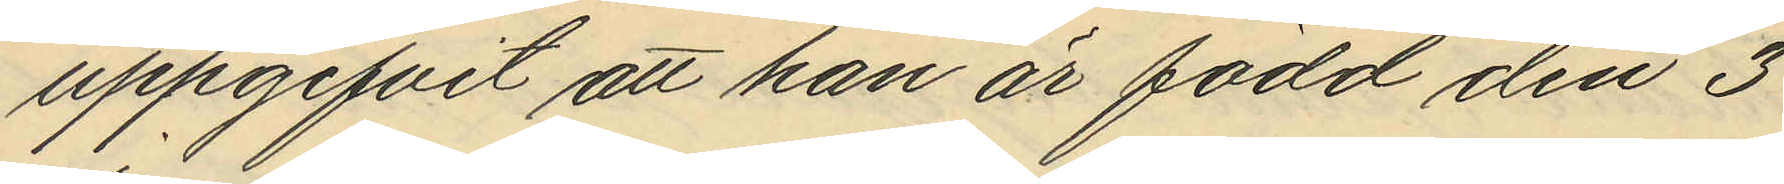uppgifvit att han är född den 3
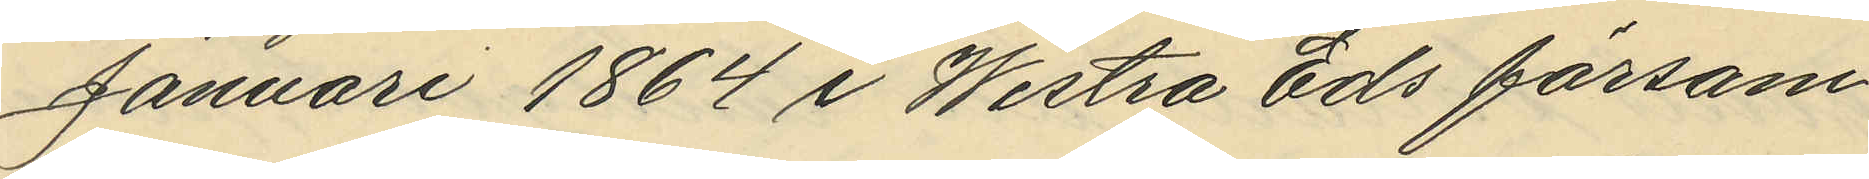Januari 1864 i Westra Eds försam¬
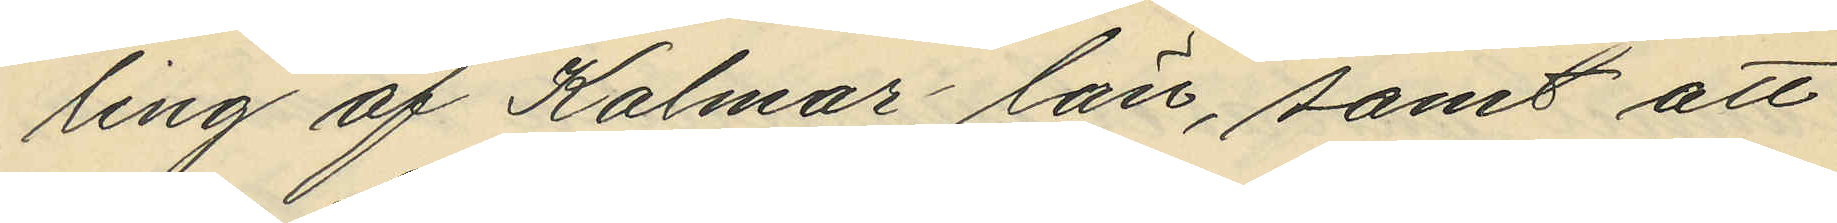ling af Kalmar län, samt att
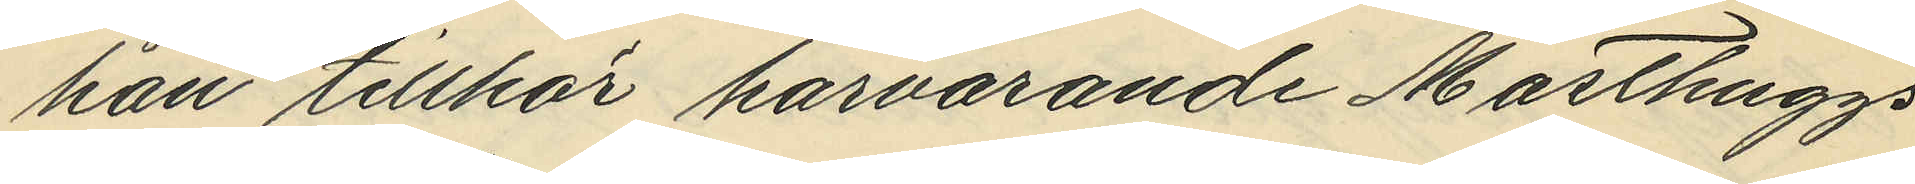han tillhör härvarande Masthuggs
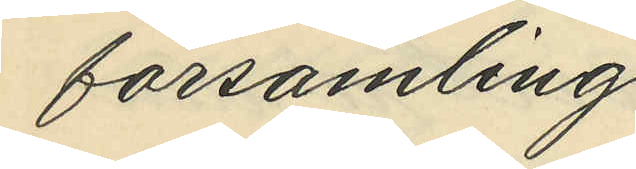församling.
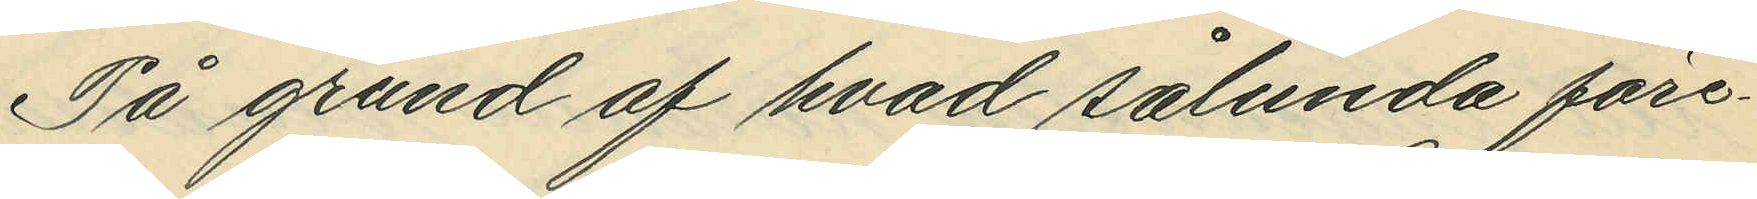På grund av hvad sålunda före¬
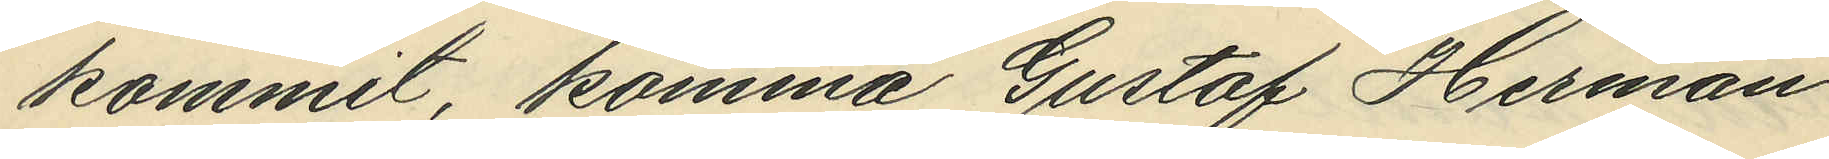kommit, komma Gustaf Herman
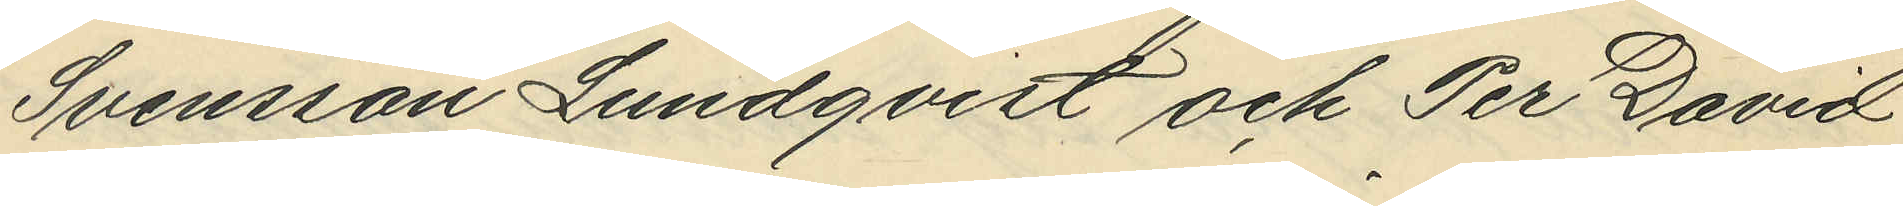Svensson Lundqvist och Per David
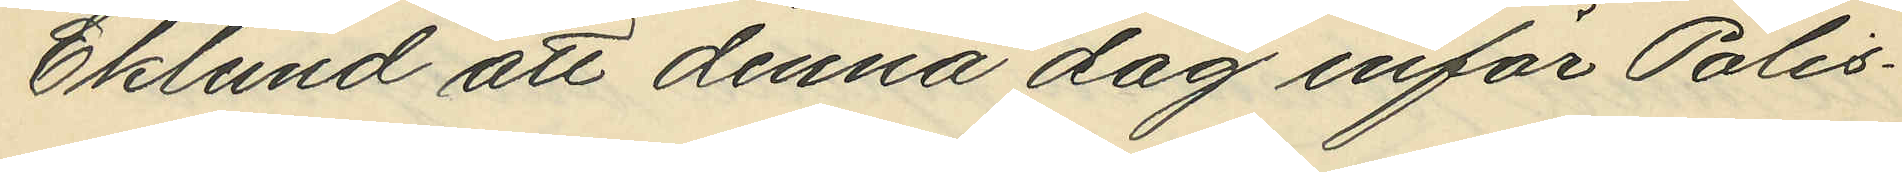Eklund att denna dag inför Polis¬
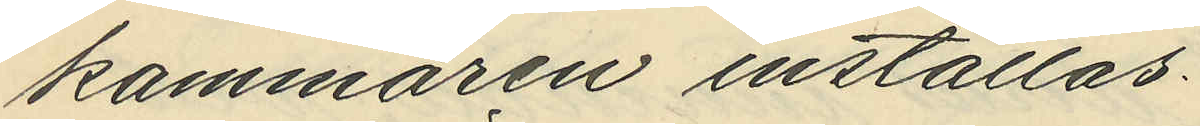kammaren inställas.
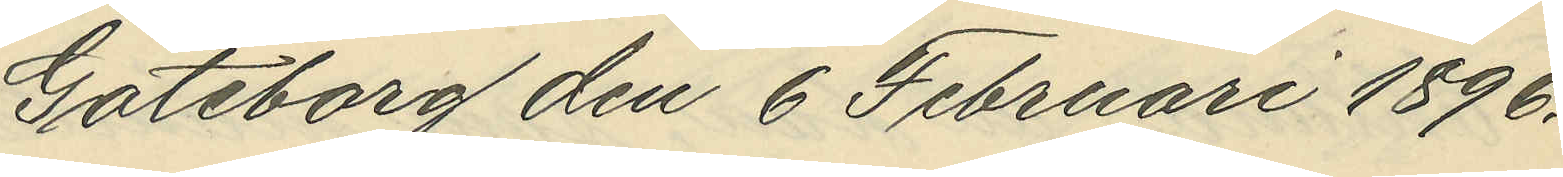Göteborg den 6 Februari 1896.
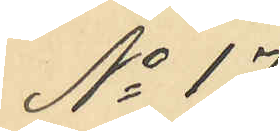No 17
